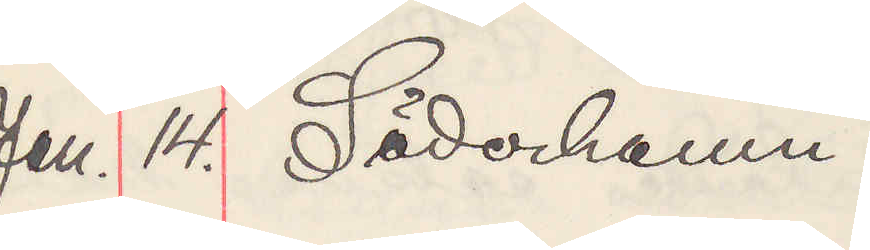Jan. 14. Söderhamn.
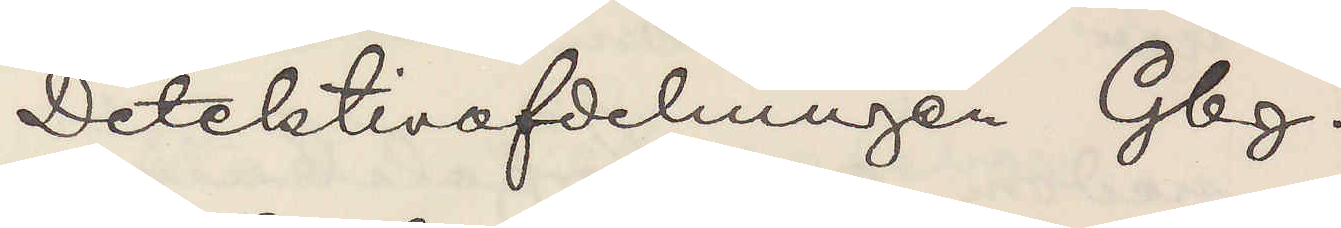Detektivafdelningen Gbg.
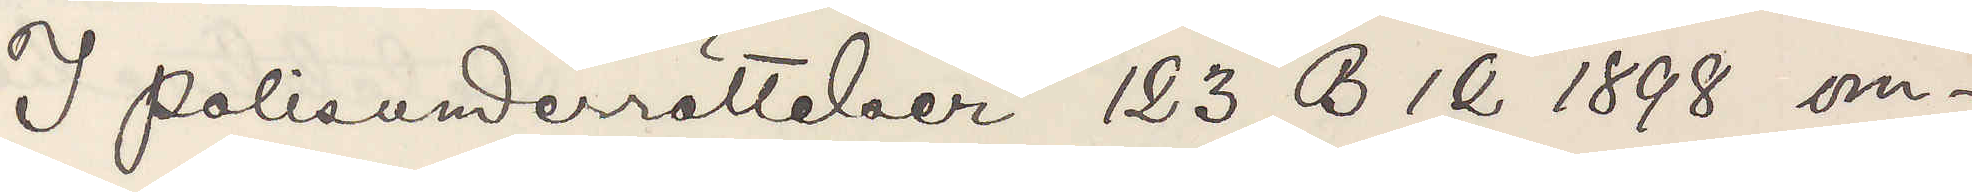I polisunderrättelser 123 B 12 1898 om¬
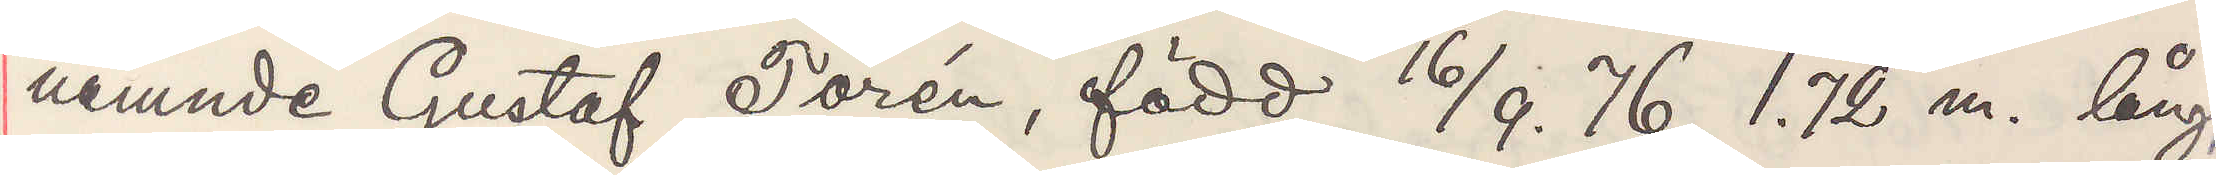nämnde Gustaf Torén, född 16/9. 76 1.72 m. lång,
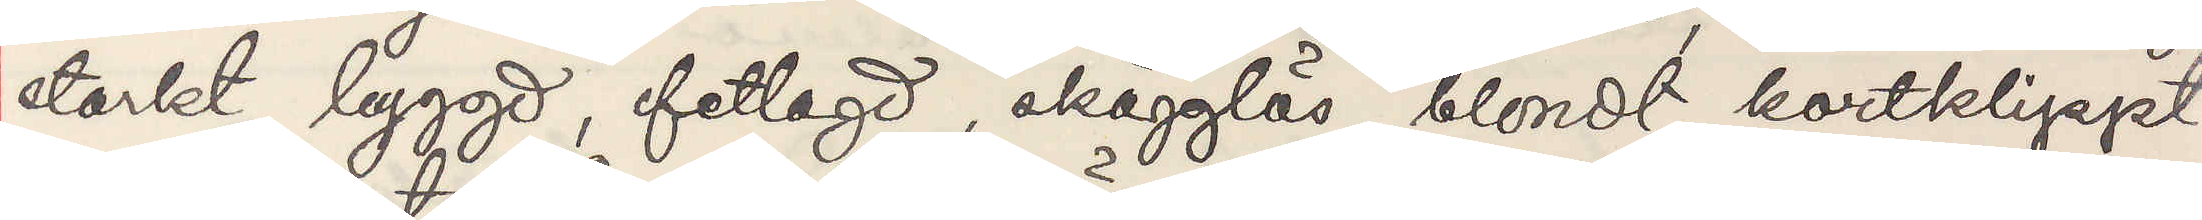starkt byggd, fetlagd, skägglös, blondt, kortklippt
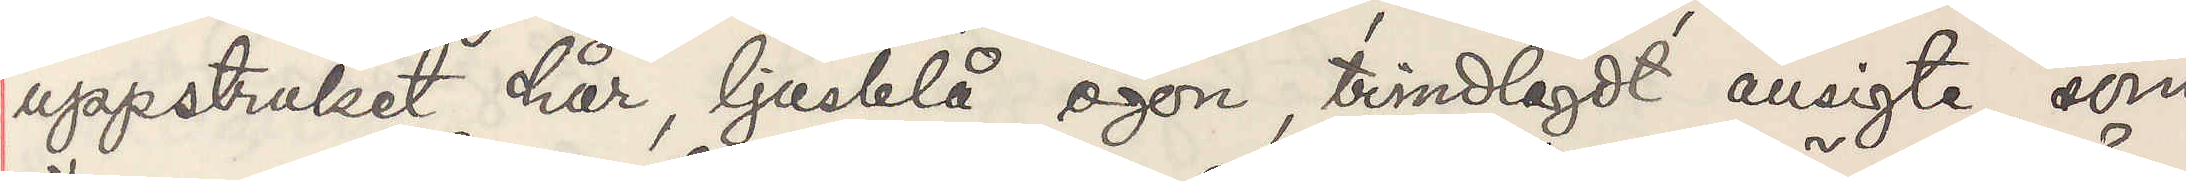uppstruket hår, ljusblå ögon, trindlagdt ansigte, som
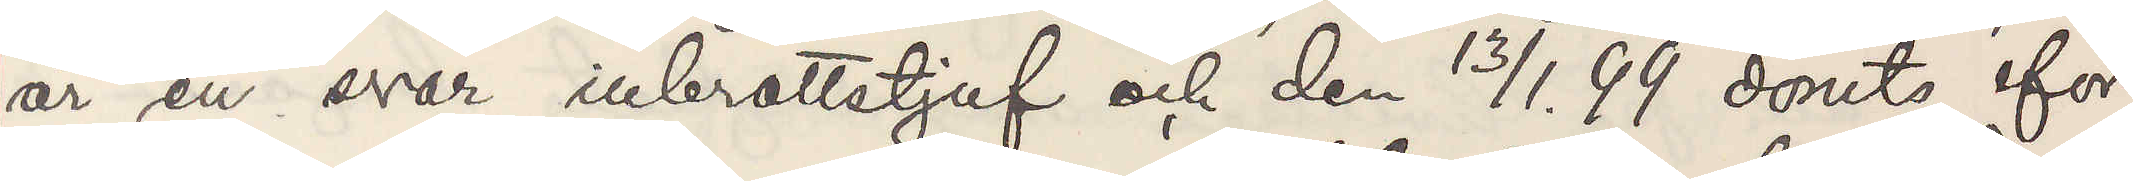är en svår inbrottstjuf och den 13/1 99 dömts för
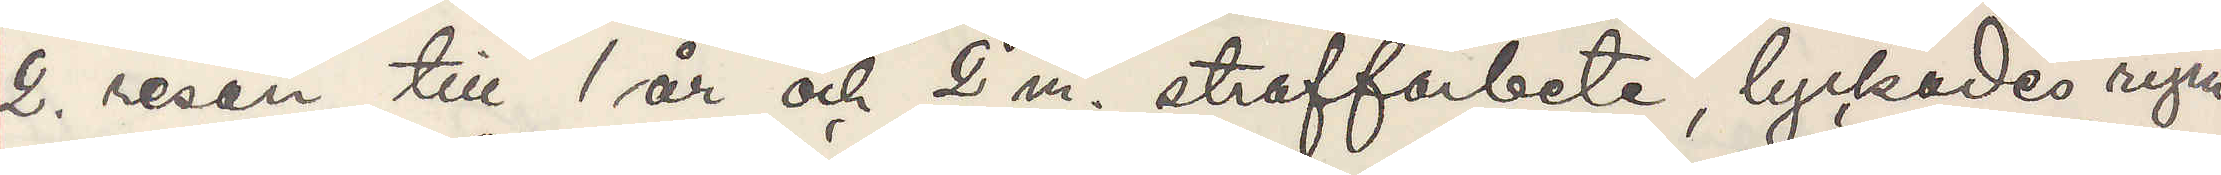2. resan till 1 år och 2 m. straffarbete, lyckades rym¬
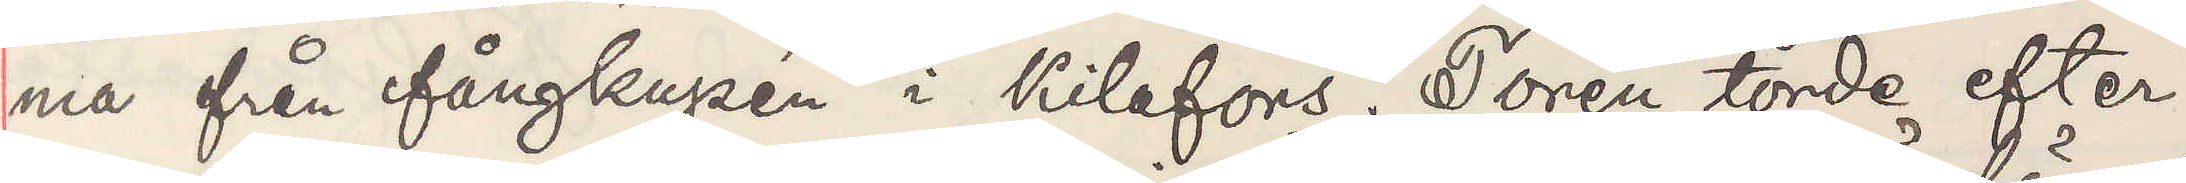ma från fångkupén i Kilafors. Torén torde efter¬
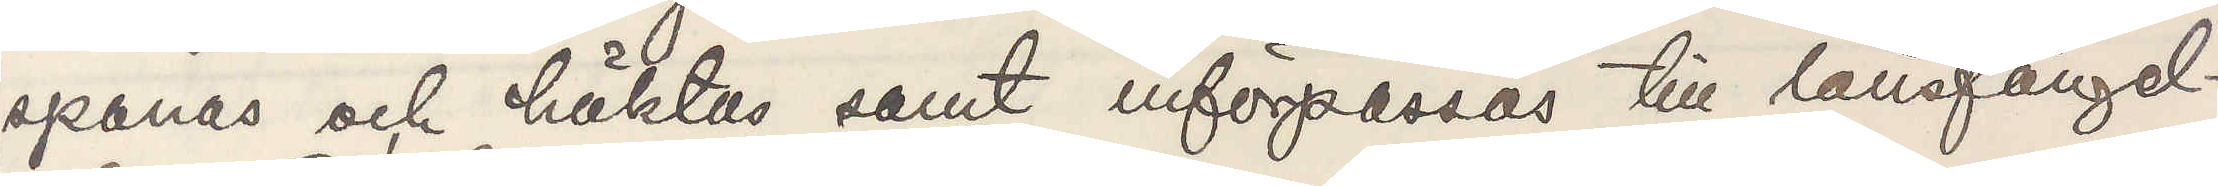spanas och häktas samt införpassas till länsfängel¬
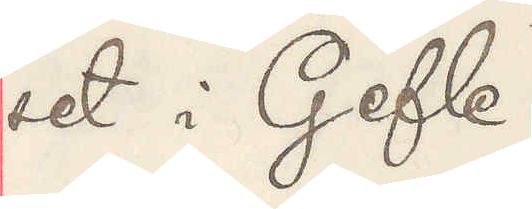set i Gefle.
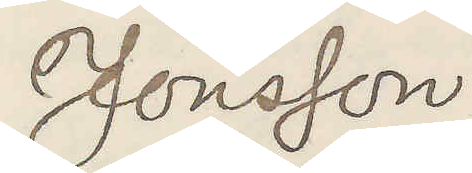Jönsson
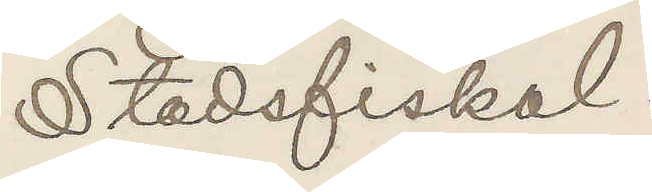Stadsfiskal.
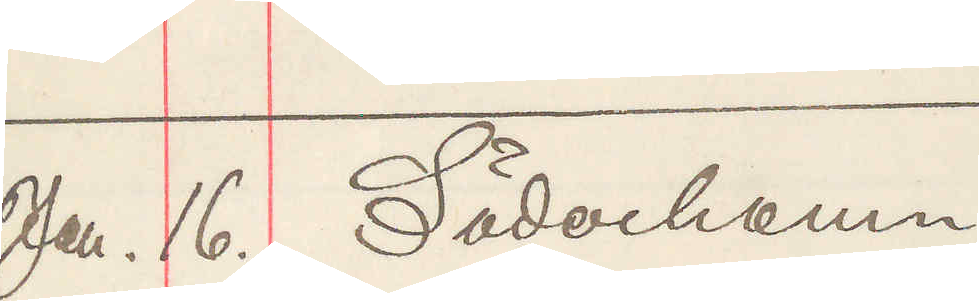Jan. 16. Söderhamn
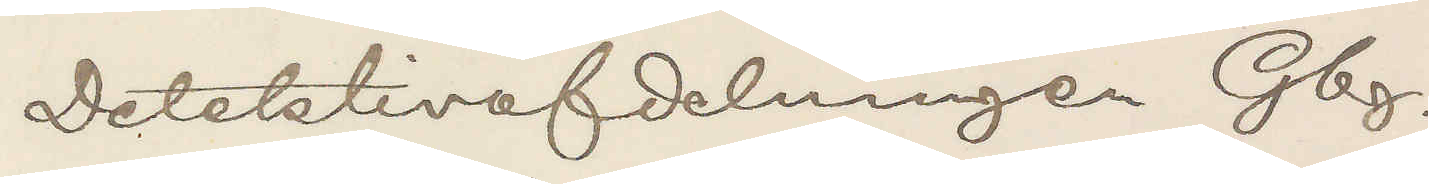Detektivafdelningen Gbg.
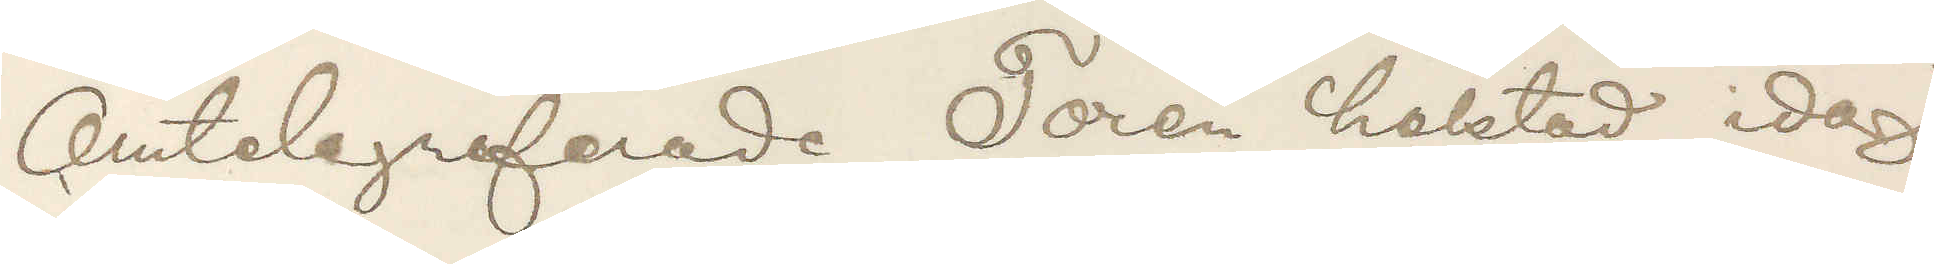Omtelegraferade Torén häktad idag
